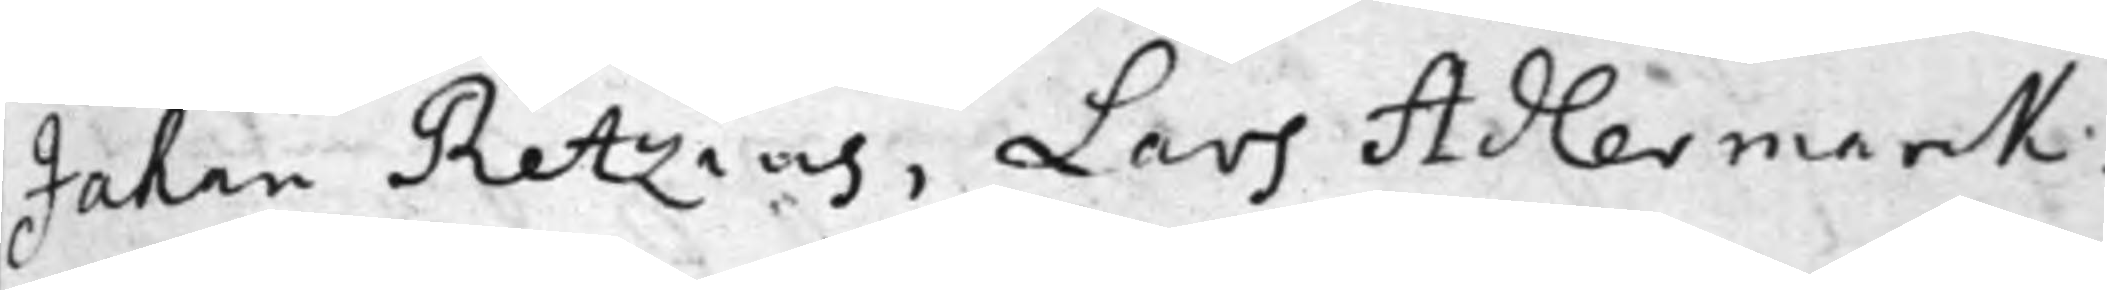Johan Retzius, Lars Adlermarck,
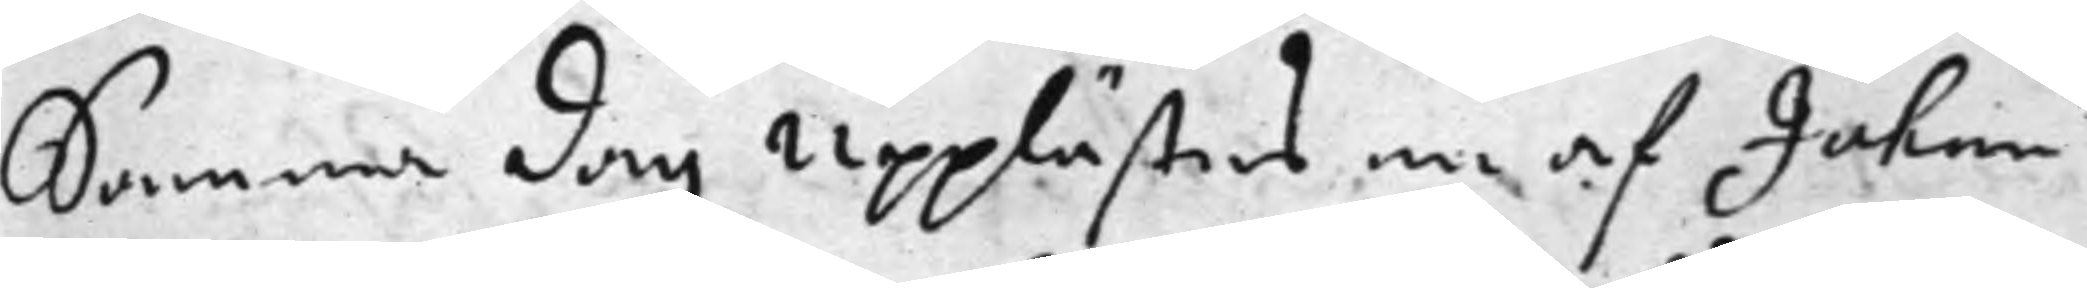Samma dag Upplästes en af Johan
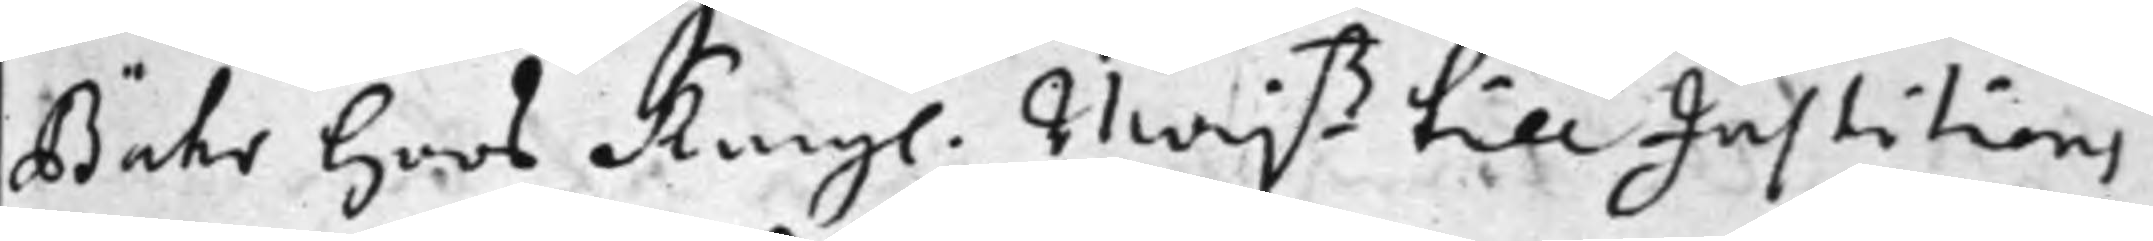Bähr hoos Kongl. Maj.ß till Justitiens
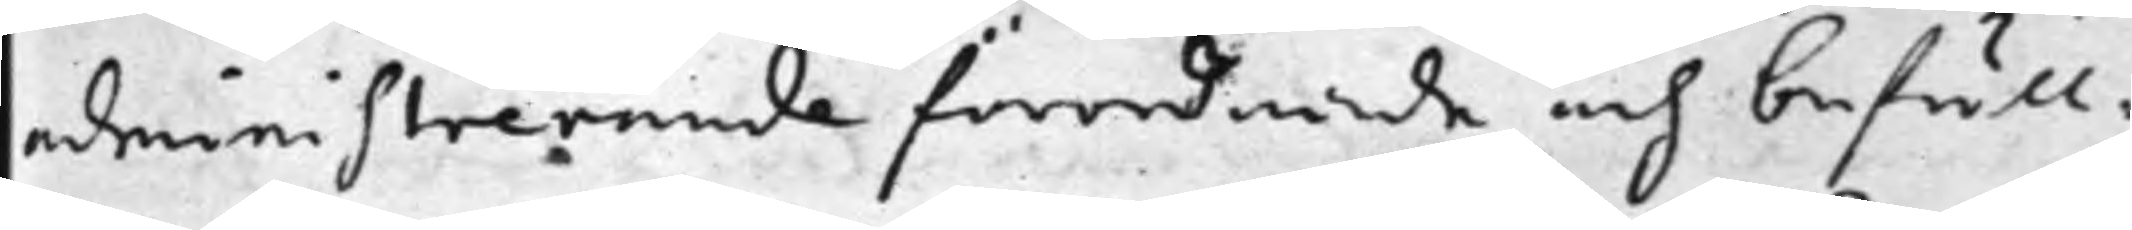administrerande förordnade och befull¬
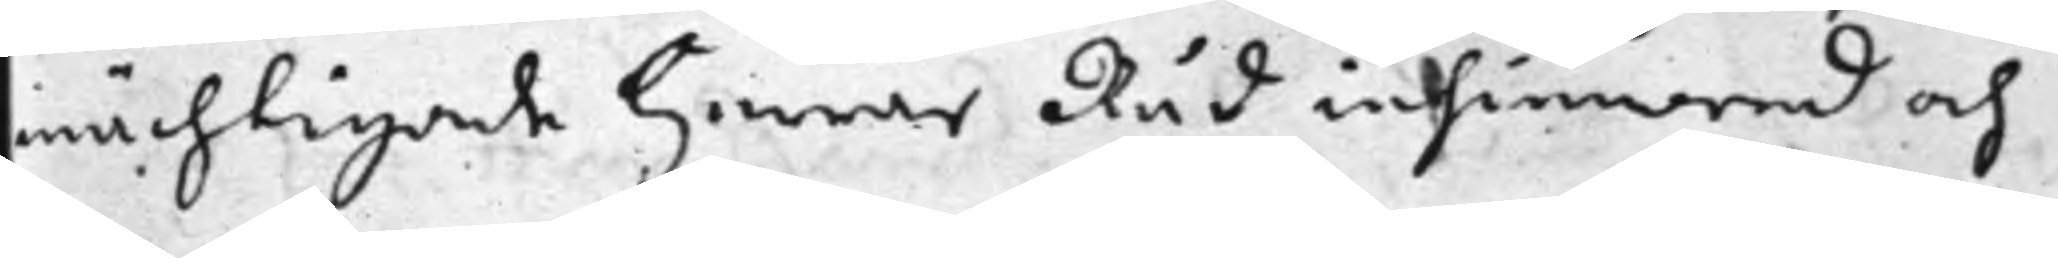mächtigade Herrar Råd insinuerad och
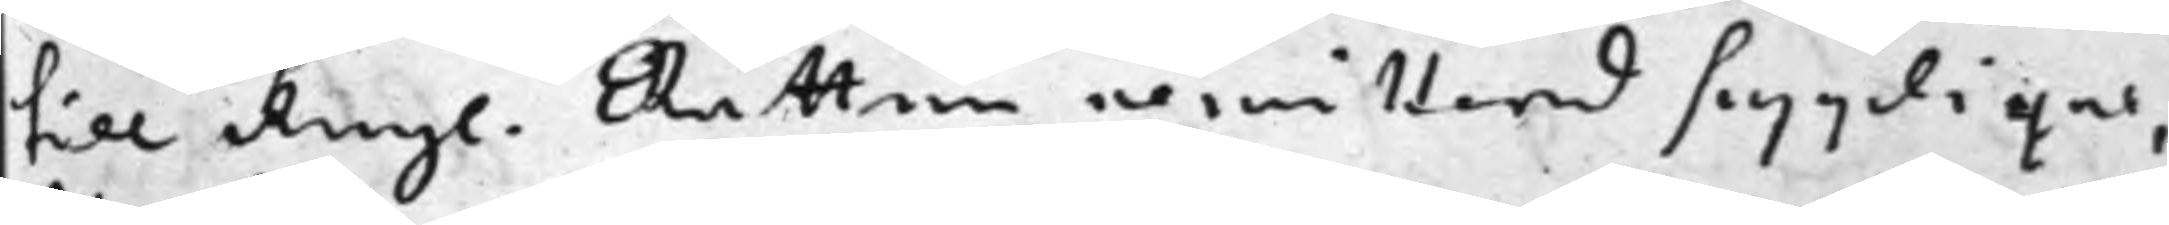till Kongl. Rätten remitterad supplique,
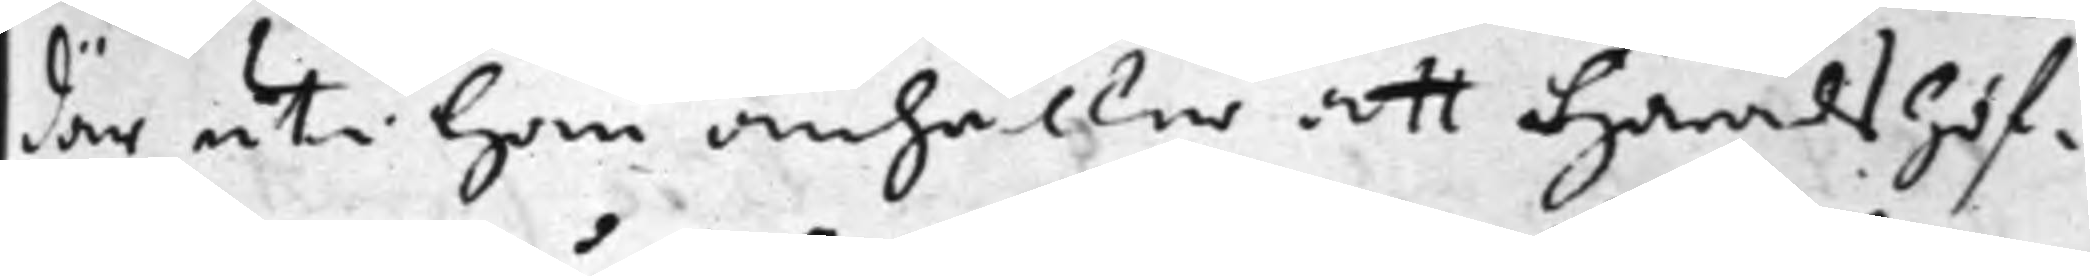där uti han anhåller att Häradshöf¬
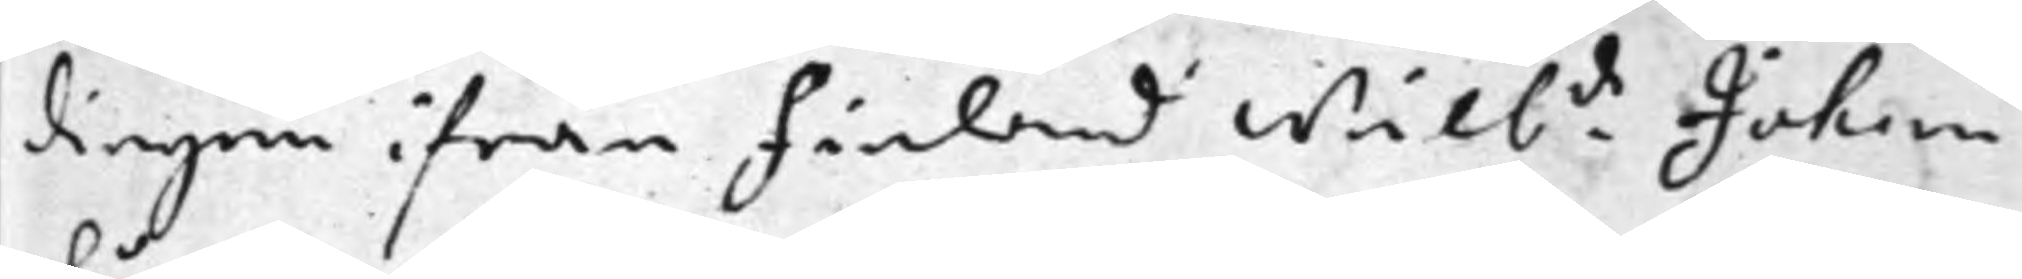dingen ifrån Finland wälb:de Johan
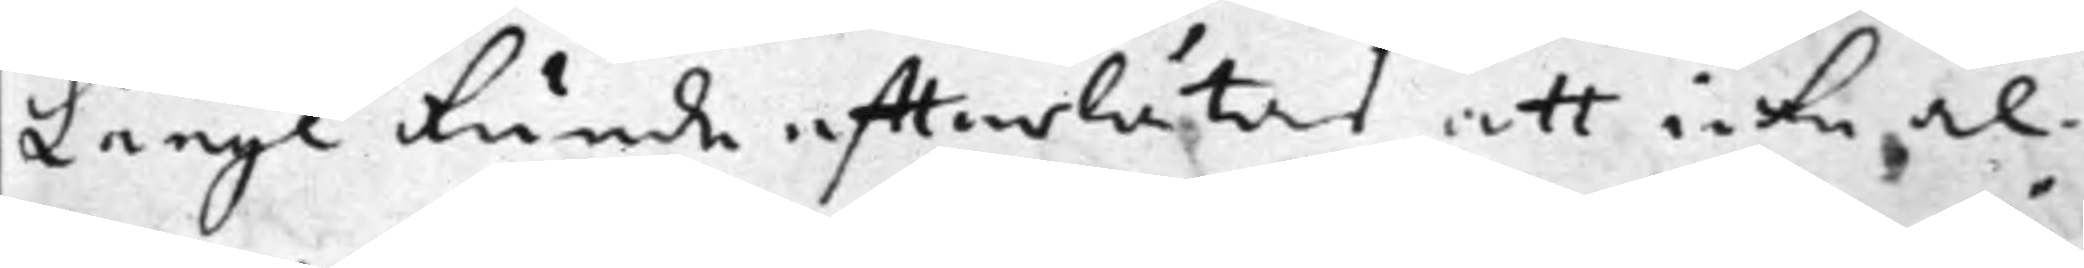Långe kunde effterlåtas att icke al¬
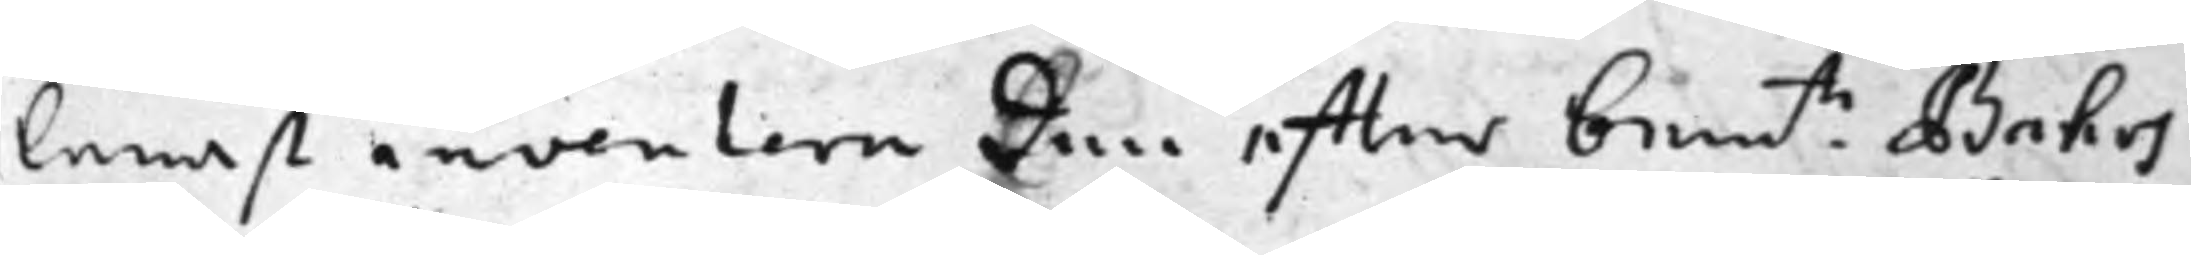lenast inventera den effter bem.te Bährs
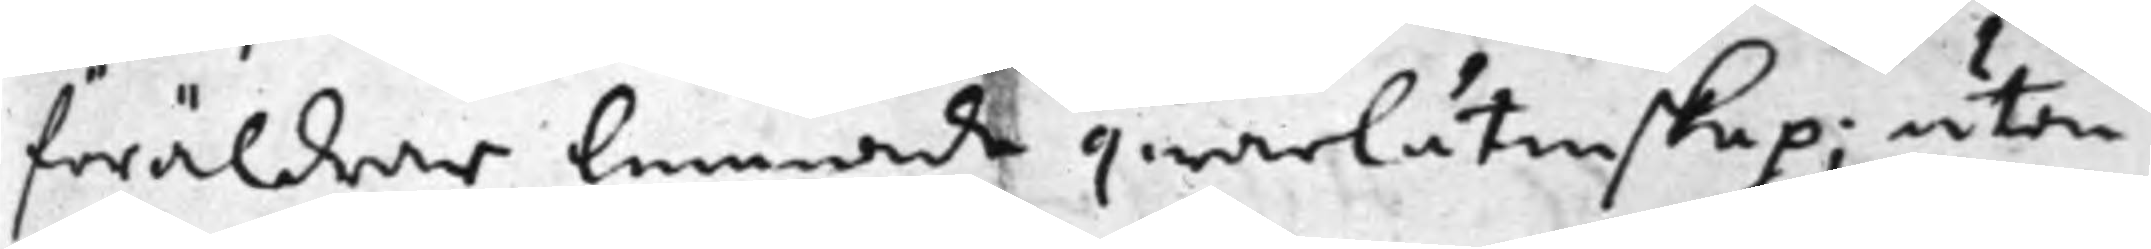föräldrar lemnade qwarlåtenskap; utan
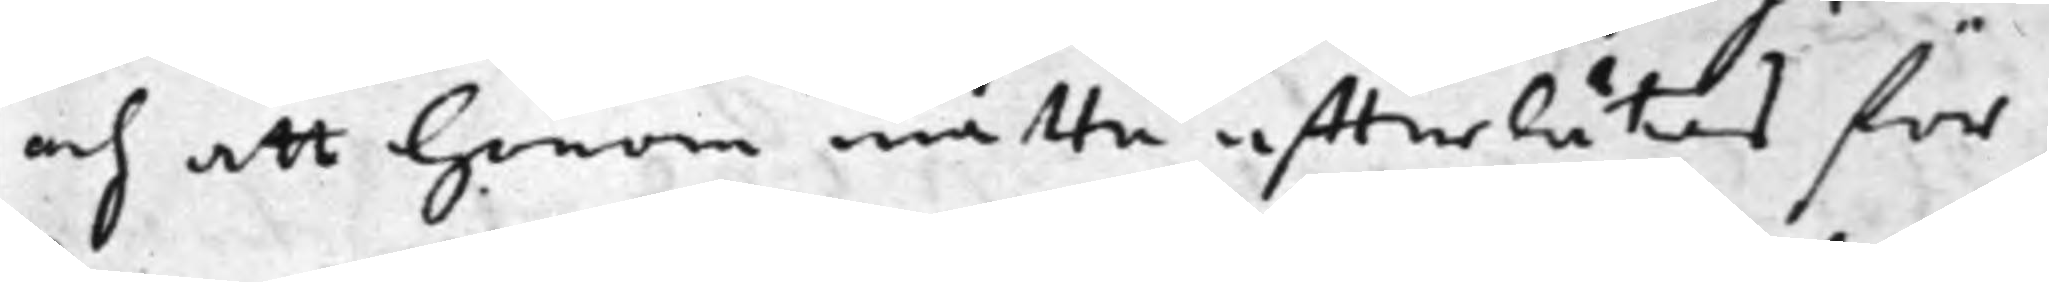och att honom måtte effterlåtas för
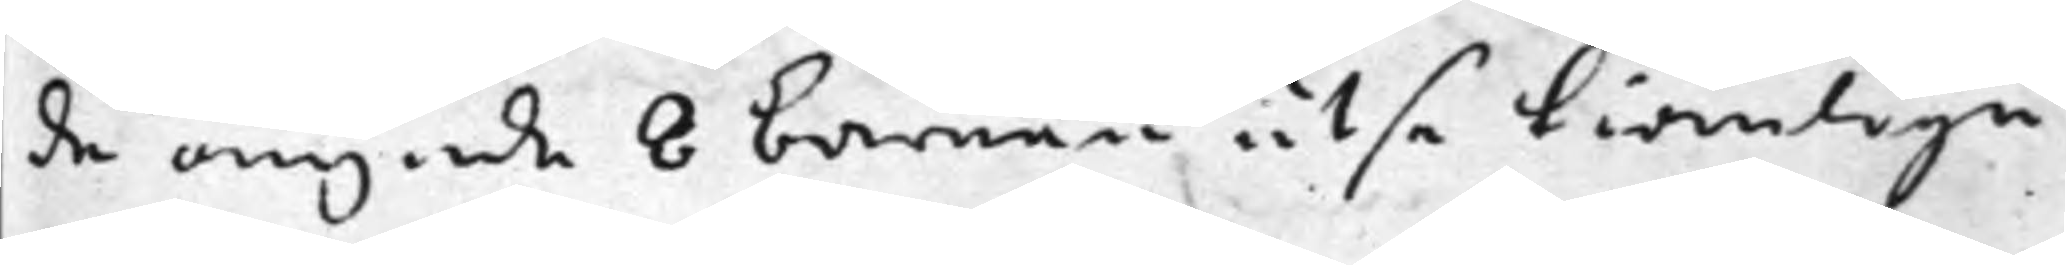de omynda 8 barnen utse tiänlige
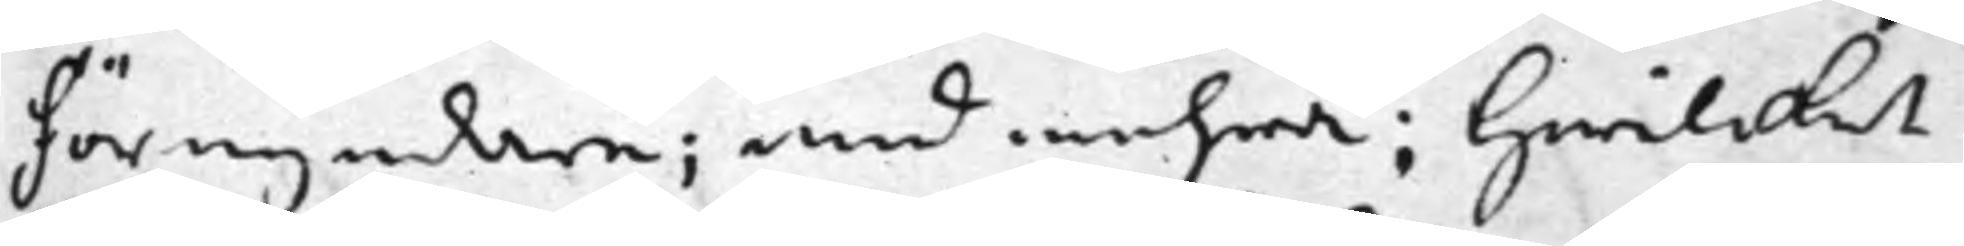Förmyndare; med mehra; Hwilcket
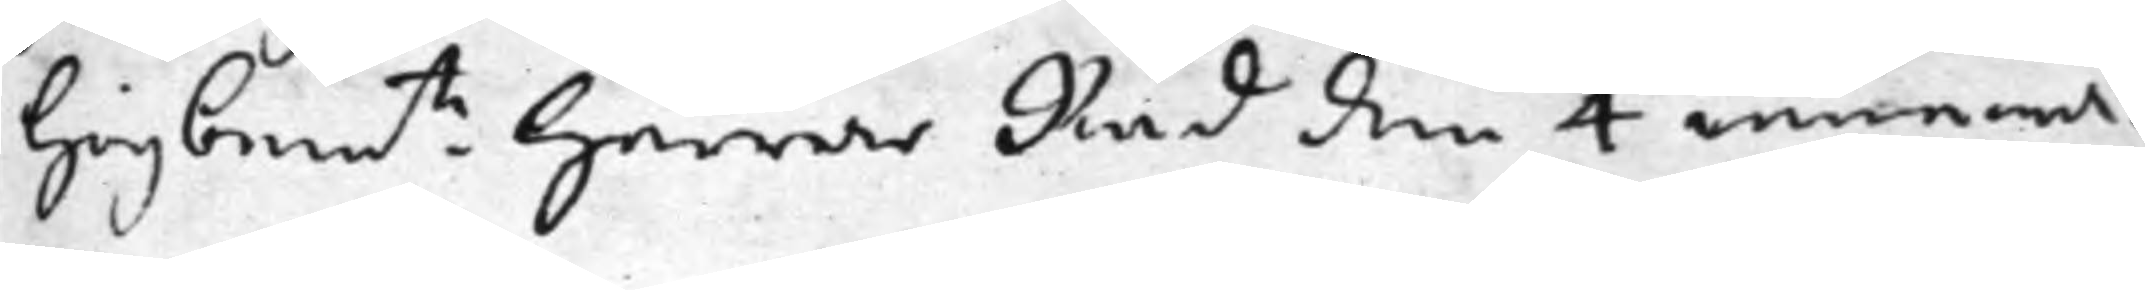högbem.te Herrar Råd den 4 innewa¬
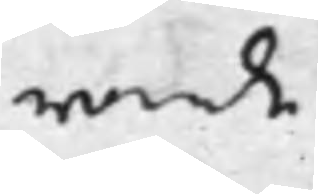rande
